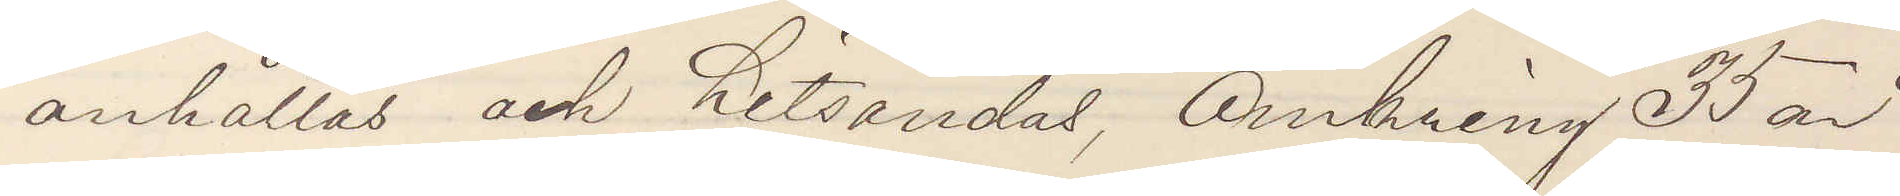anhållas och hitsändas, Omkring 35 år
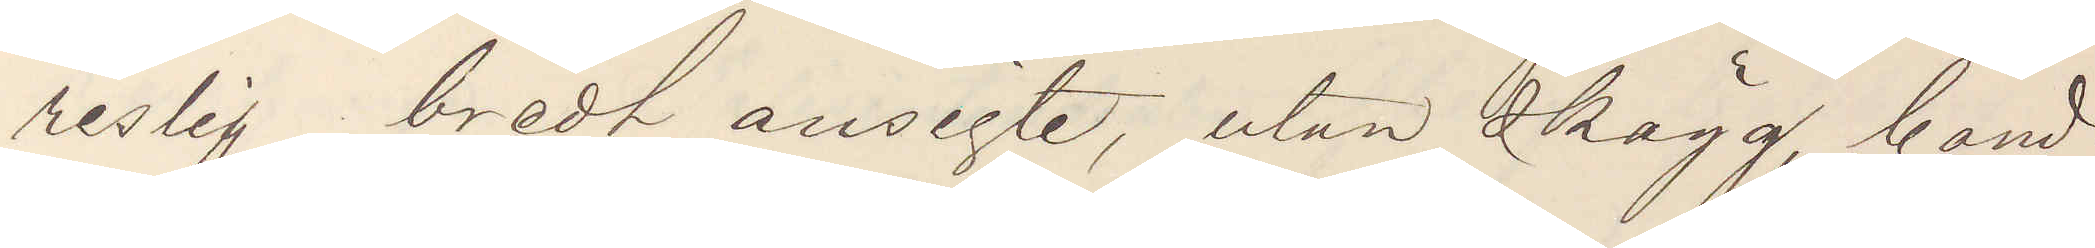reslig bredt ansigte, utan skägg, bond¬
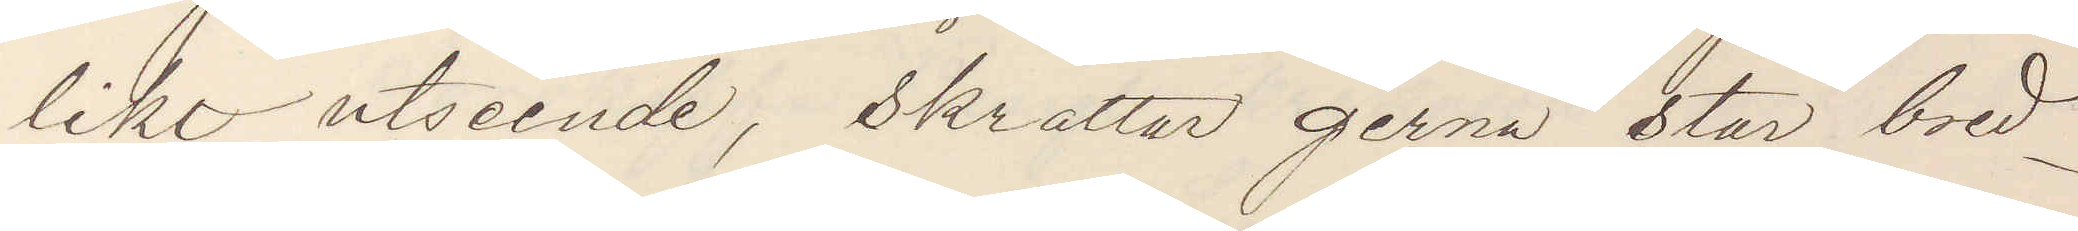likt utseende, skrattar gerna står bred¬
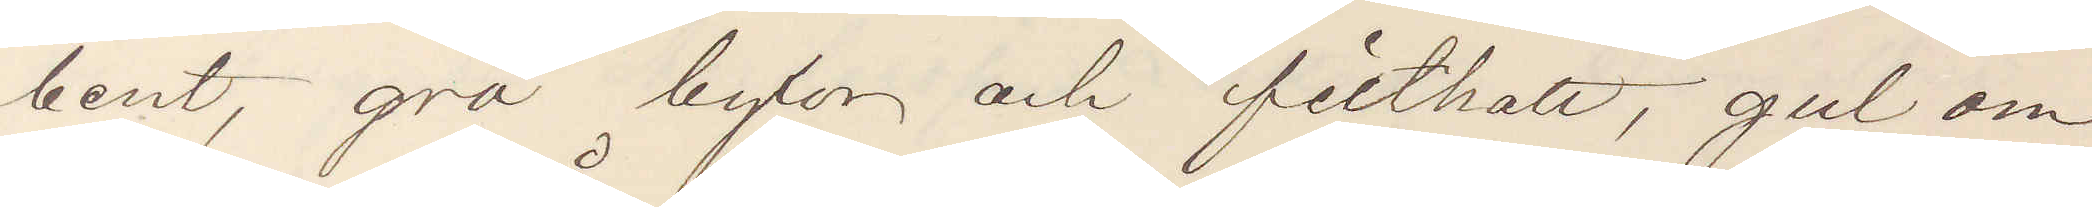bent, grå byxor och filthatt, gul om¬
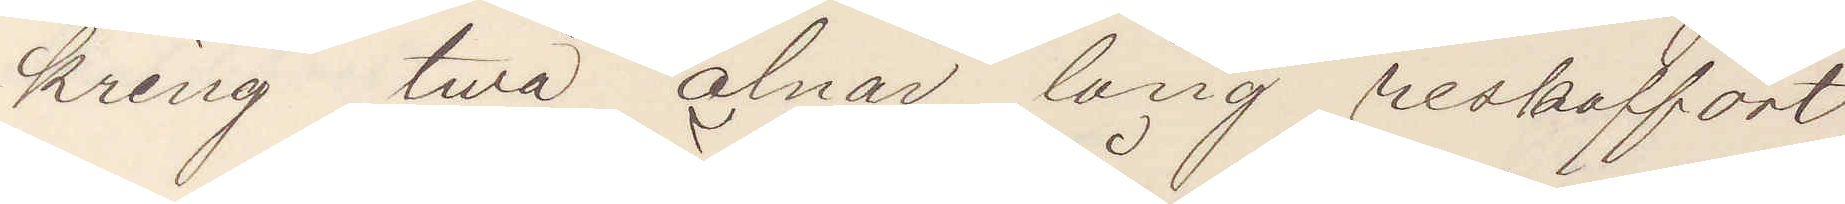kring twå alnar lång reskoffert.
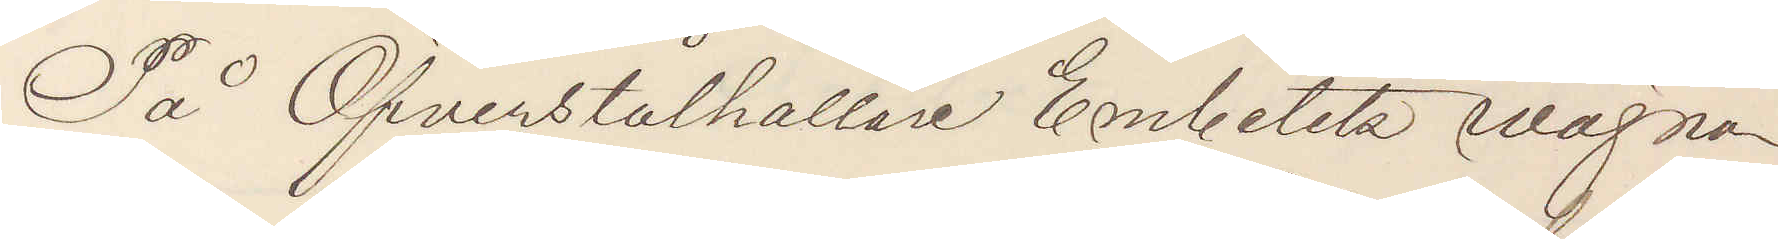På Öfverståthållare Embetets wägnar
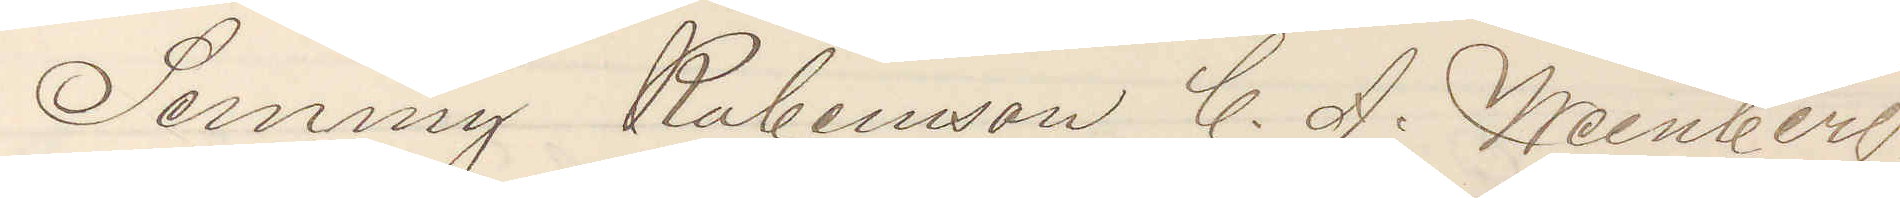Semmy Rubenson C. A. Weinberg
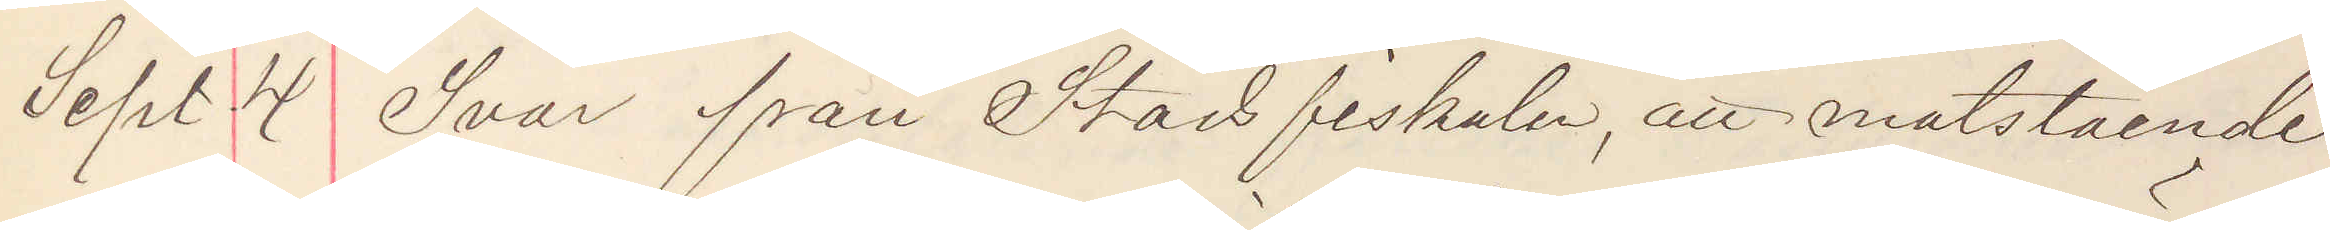Sept 4 Svar från Stadsfiskalen, att motstående
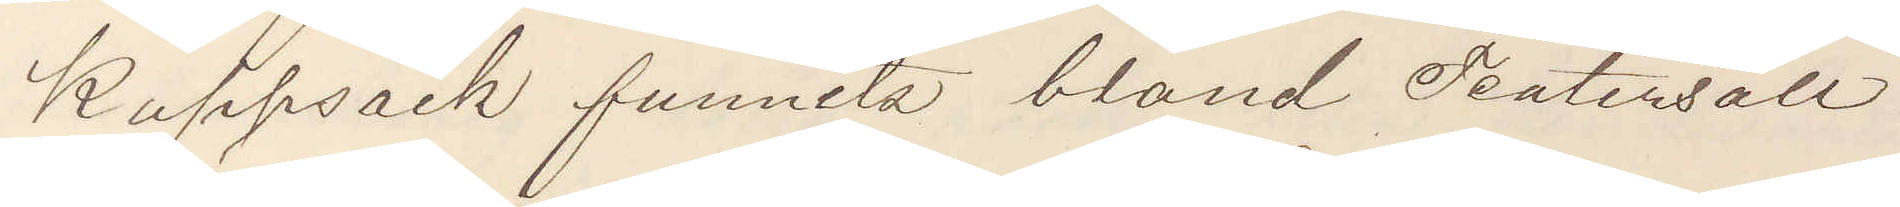Kappsäck funnits bland Teatersäll¬
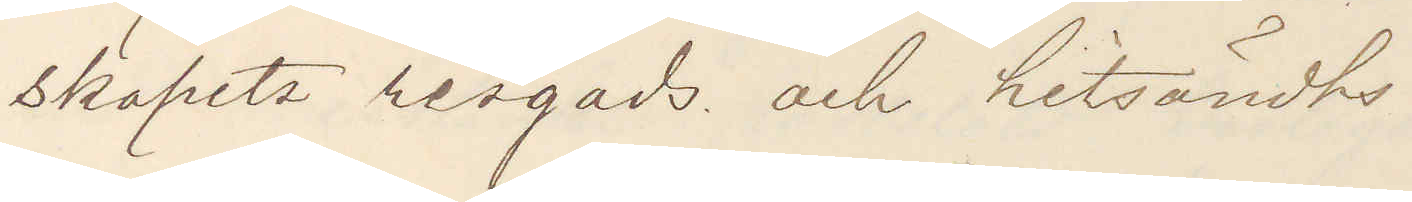skapets resgods och hitsändts.
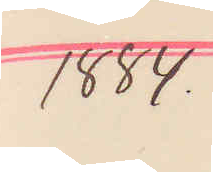1884.
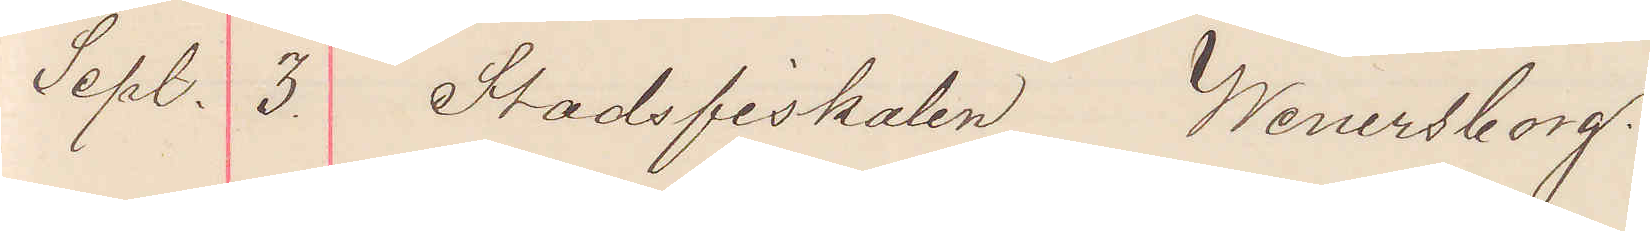Sept. 3. Stadsfiskalen Wenersborg.
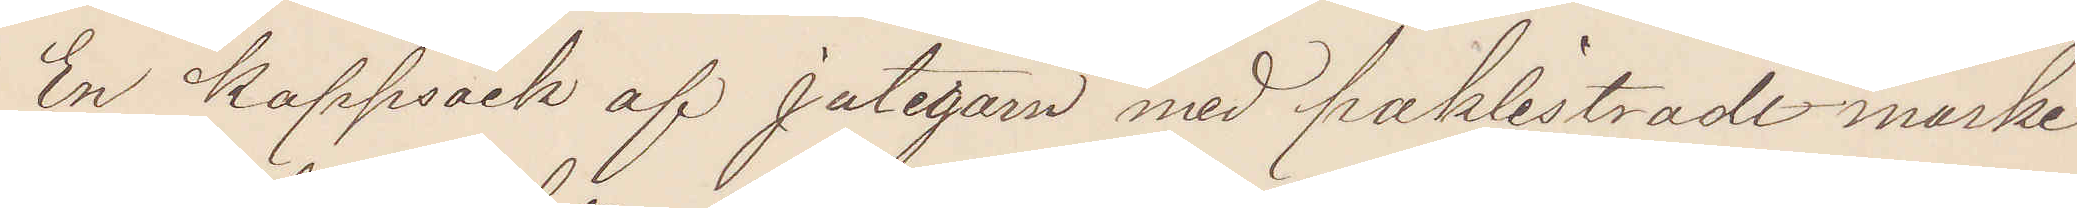En Kappsäck af jutegarn med påklistradt märke
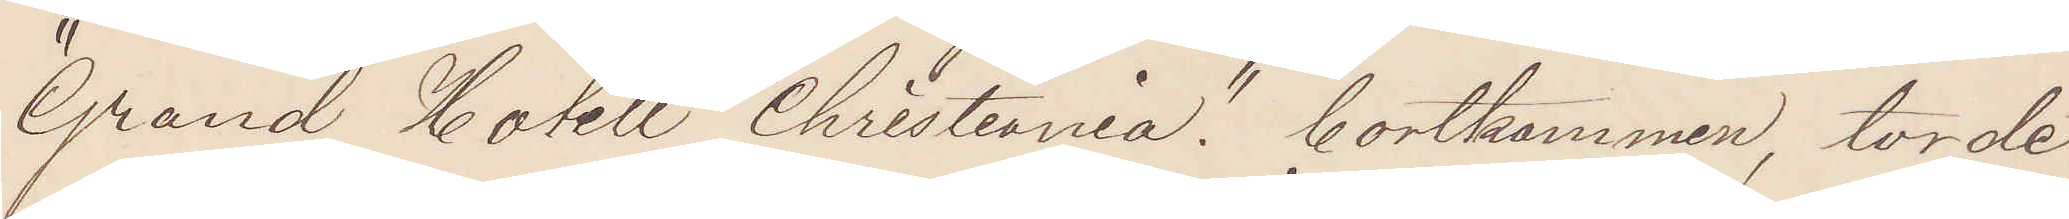"Grand Hotell Christiania" bortkommen, torde
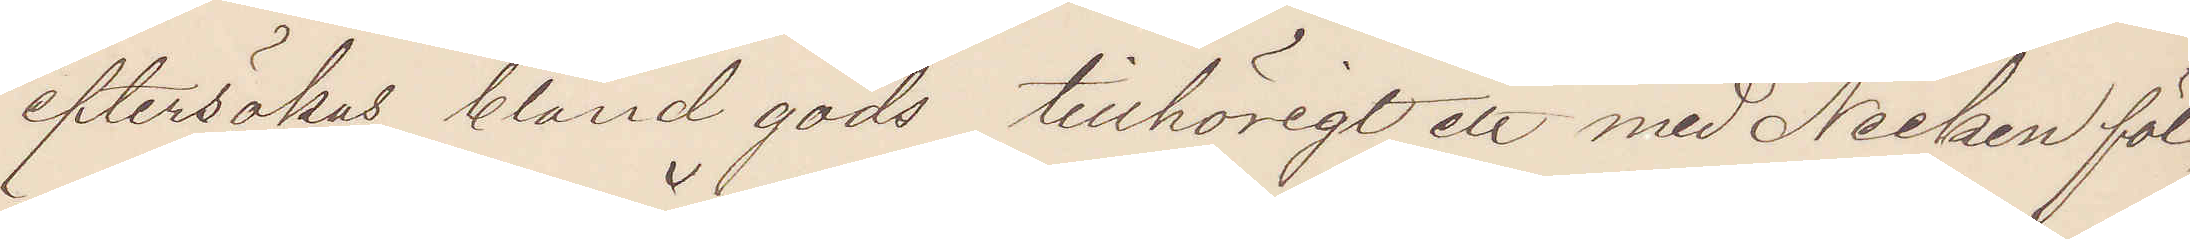eftersökas bland gods tillhörigt ett med Necken föl¬
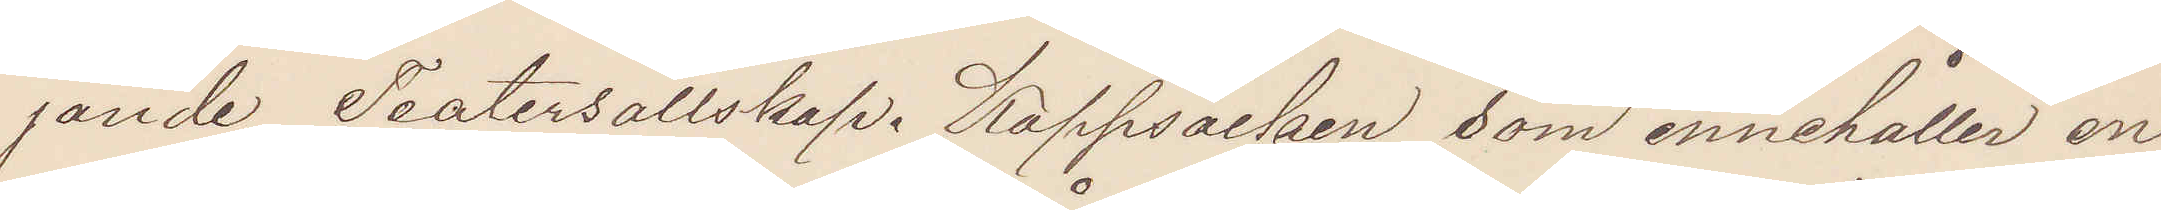jande Teatersällskap. Kappsäcken som innehåller en
